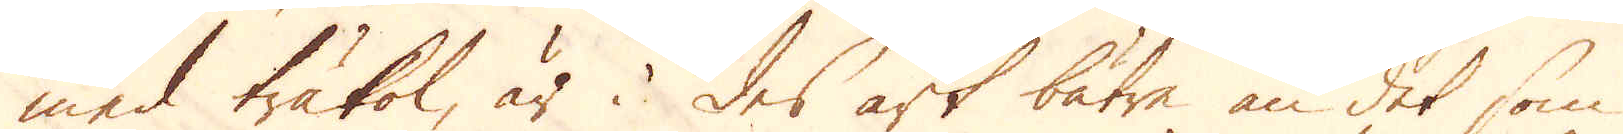med träkol, är i des art bätre än det som
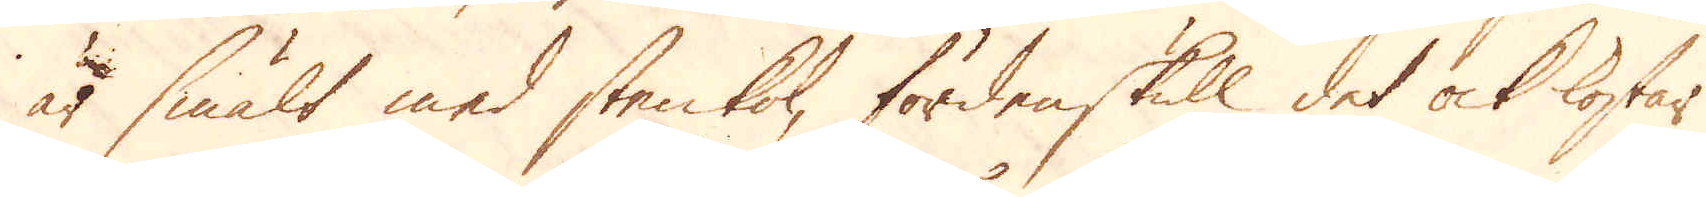är smält med stenkol, fördenskull det ock kostar
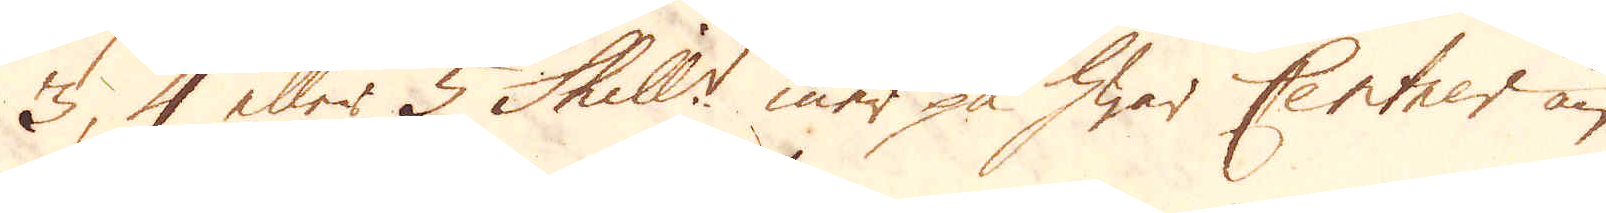3, 4 eller 5 Skill:r mer på hwar Centner än
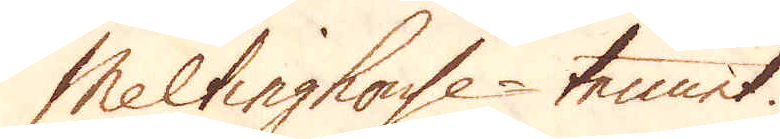Meltinghouse-tennet.
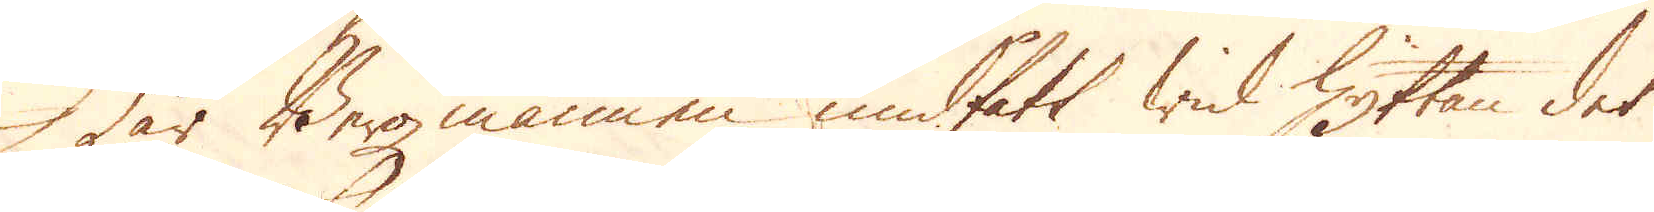När Bergmannen undfatt wid hyttan det
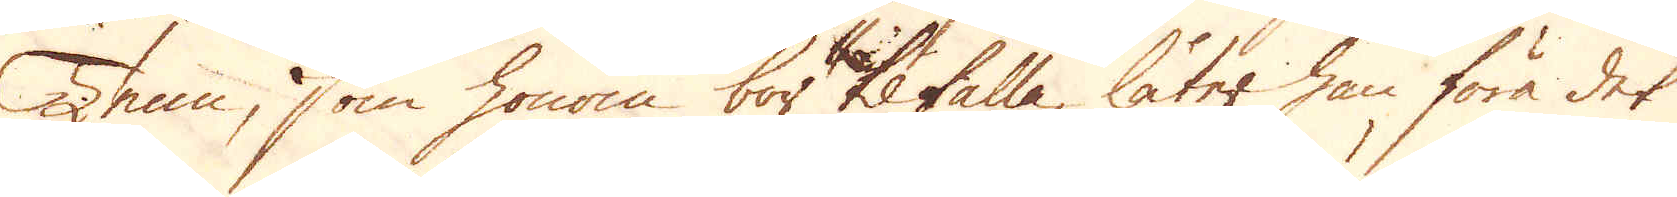Tenn, som honom bör tilfalla, låter han föra det
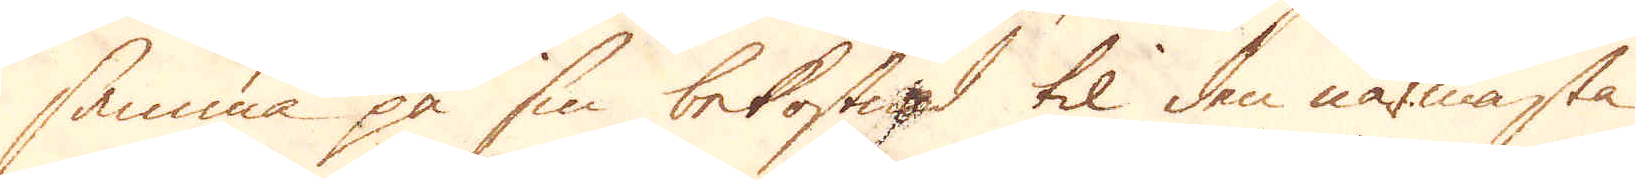samma på sin bekostad til den närmasta
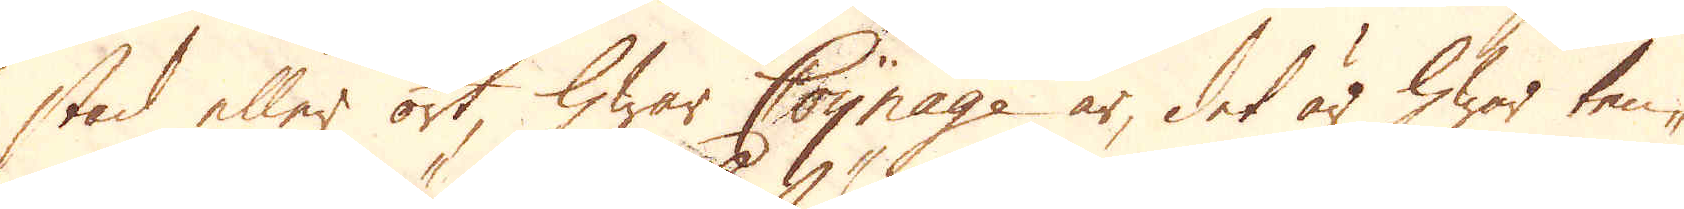stad eller ort hwar Coynage är, det är hwar tenn-
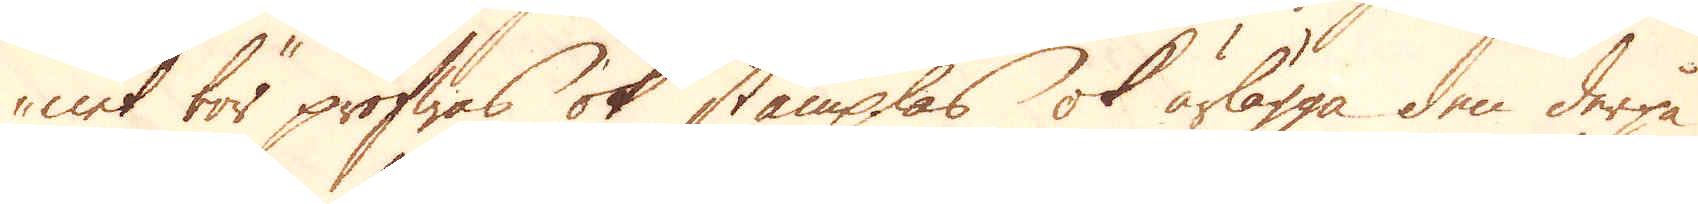net för profwas ok stämplas ok ärlägga den derpå
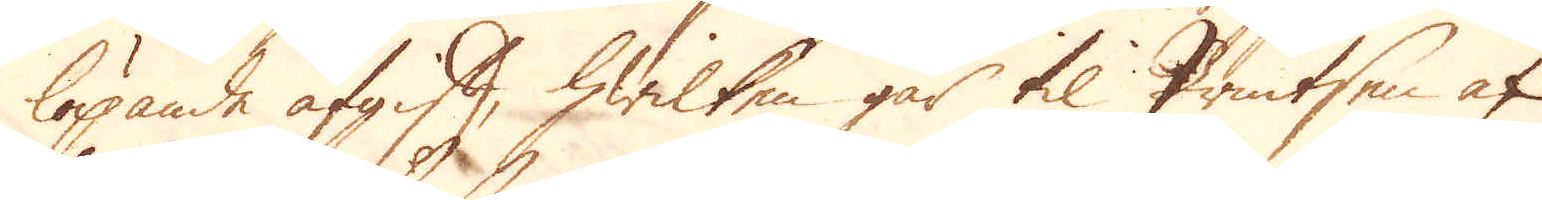löpande afgift, hwilken går til Printsen af
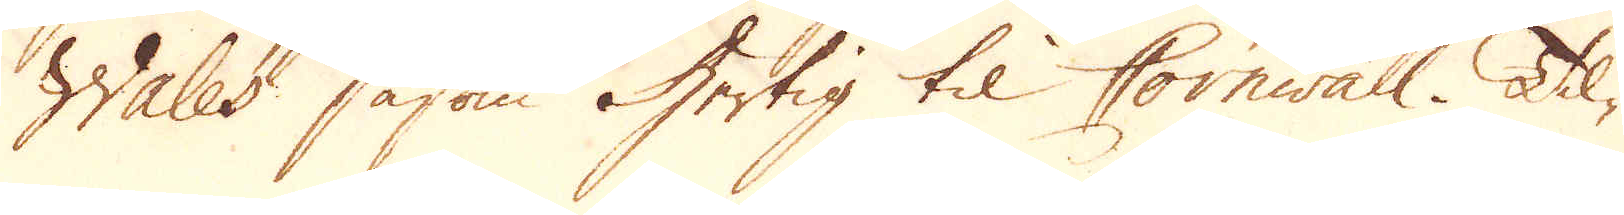Wales såsom Hertig til Cornwall. Til-
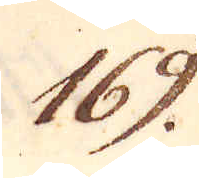169.
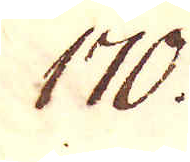170.
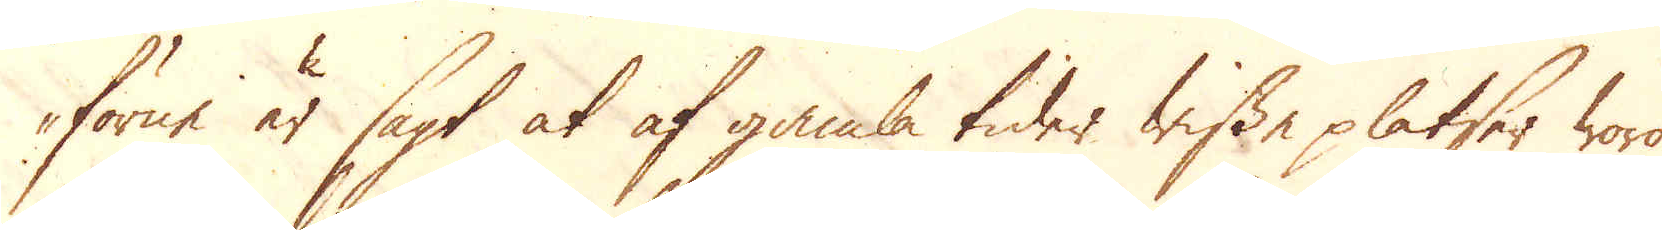förne är sagt at af gamla tider wissa platser woro
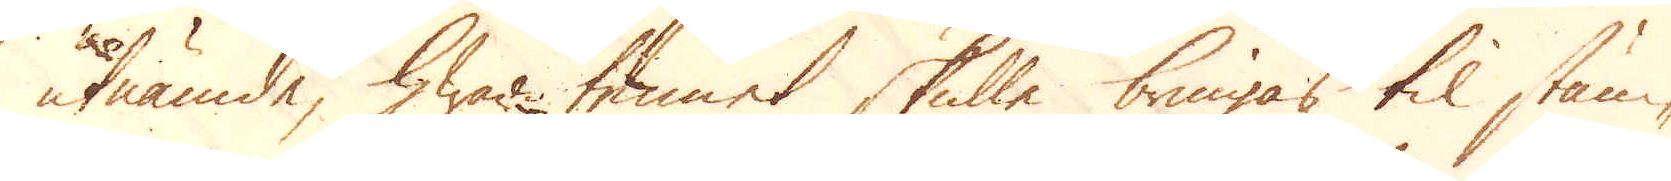utnämde, hwar tennet skulle bringas til stäm-
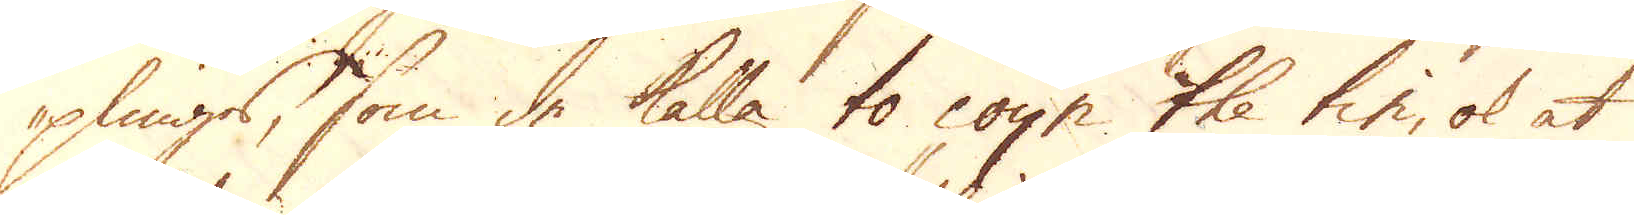plings, som de kalla to coyn the tin, ok at
